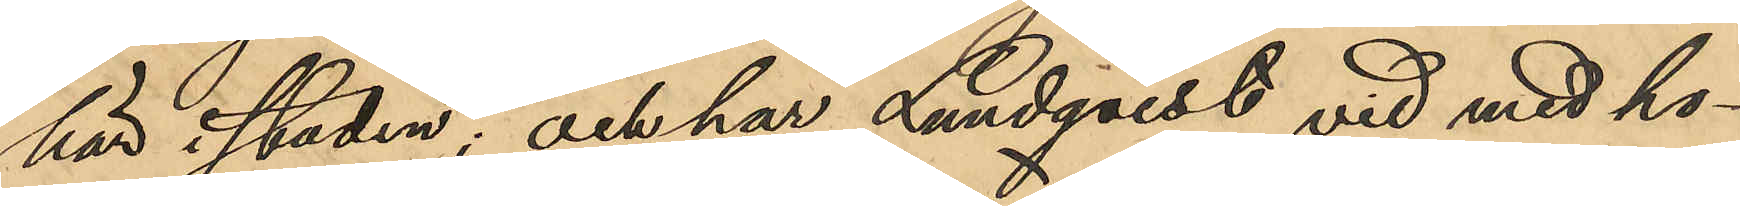här i staden; och har Lundqvist vid med ho¬
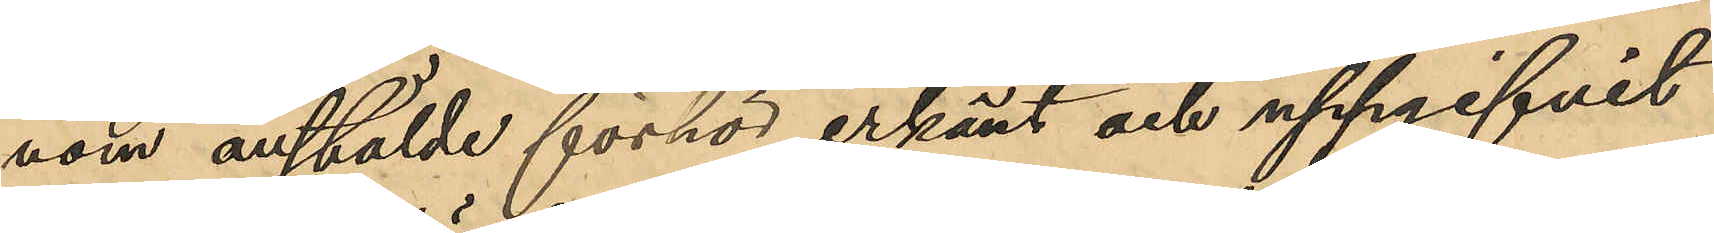nom anstälde förhör erkänt och uppgifvit
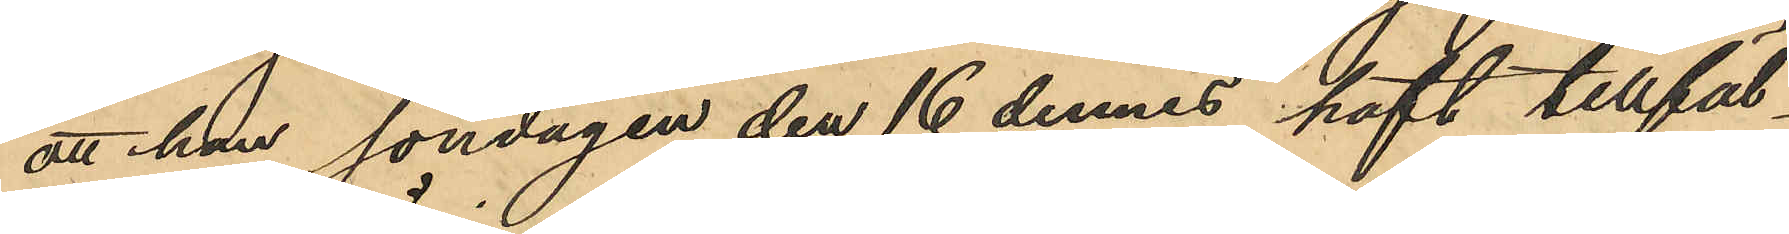att han söndagen den 16 dennes haft tillfäl¬
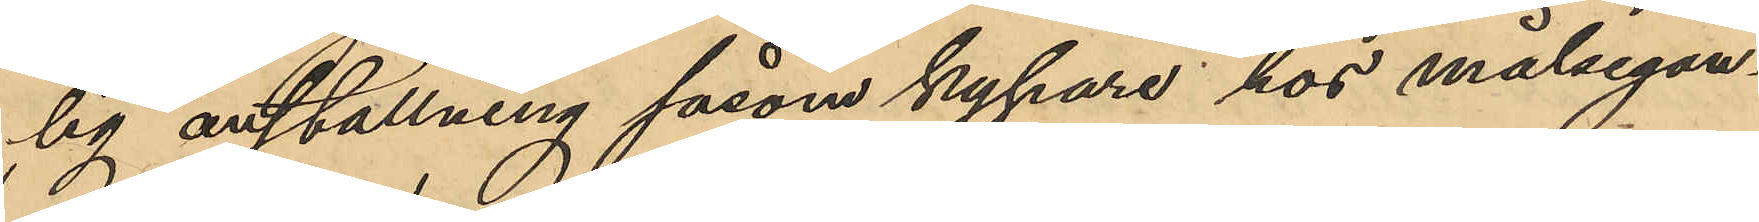lig anställning såsom kypare hos målsegan¬
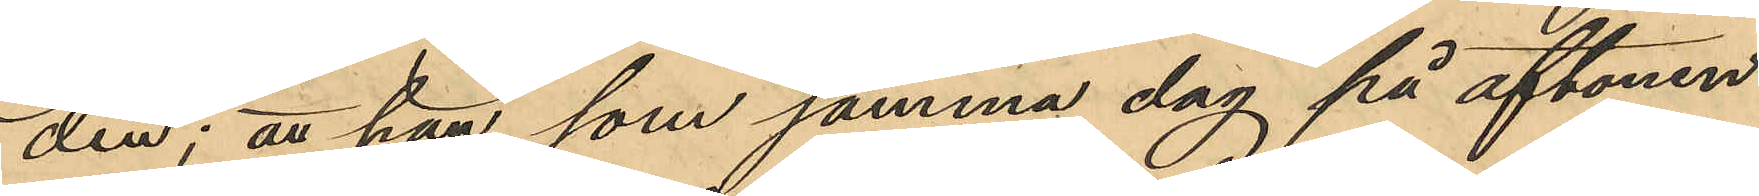den; att han som samma dag på aftonen
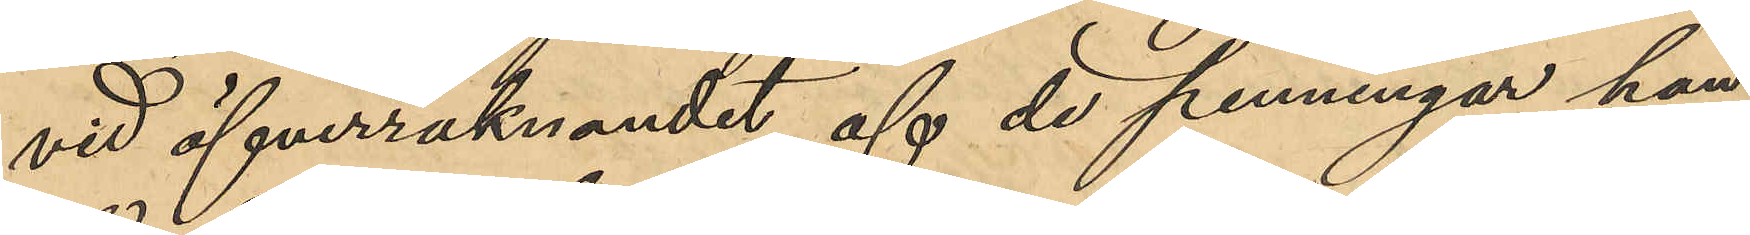vid öfverräknandet af de penningar han
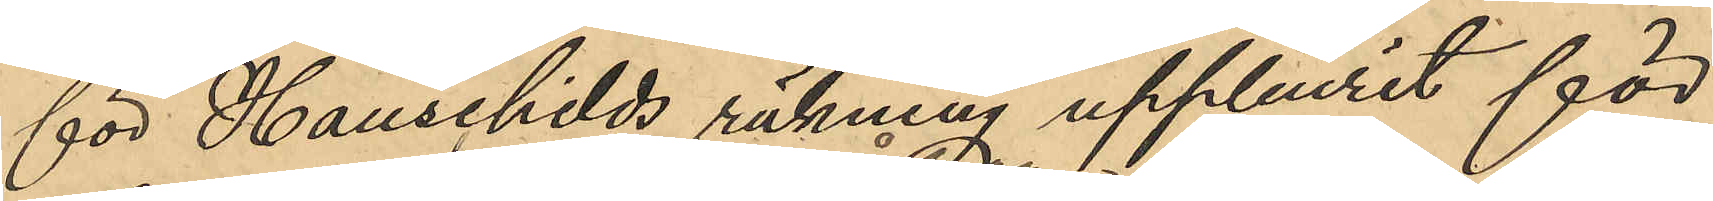för Hauschilds räkning uppburit för
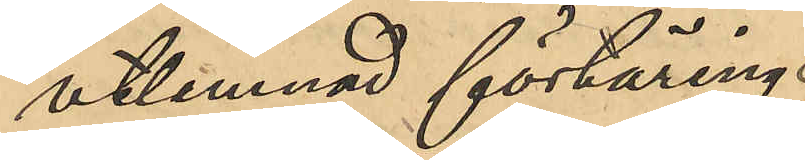utlemnad förtäring,
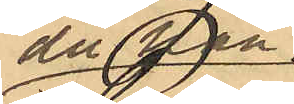då han
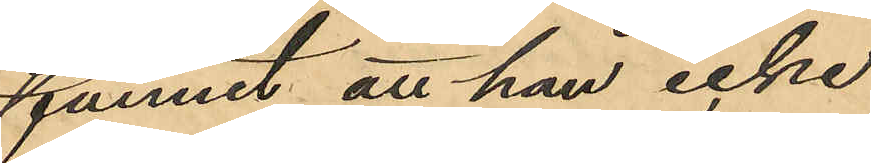funnit att han icke
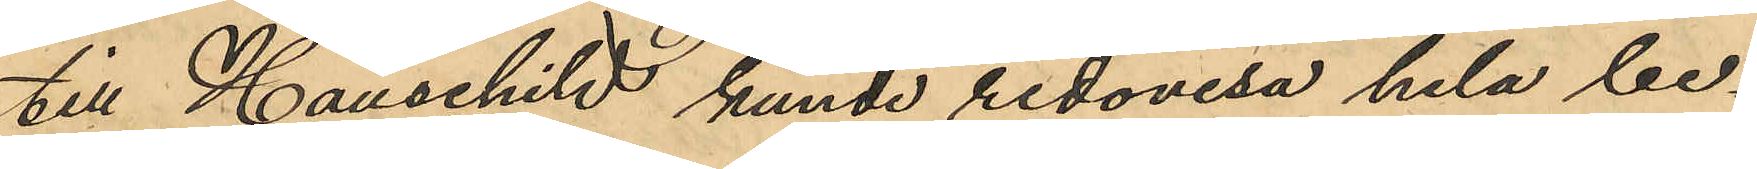till Hauschild kunde redovisa hela be¬
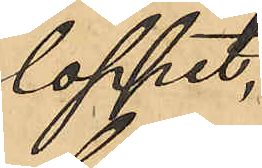loppet,
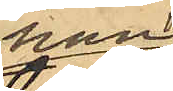han
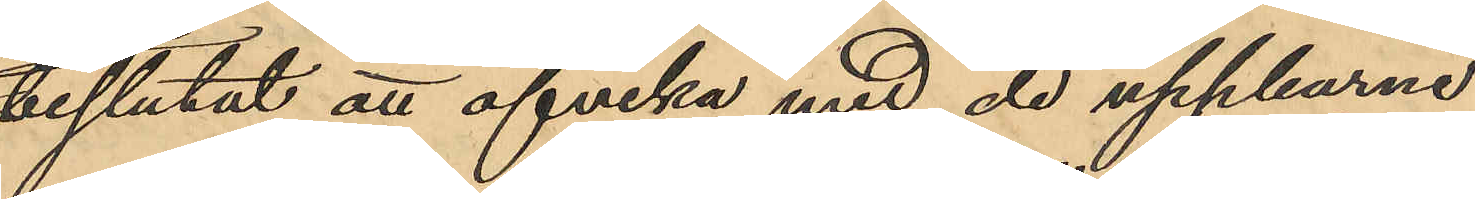beslutat att afvika med de uppburna
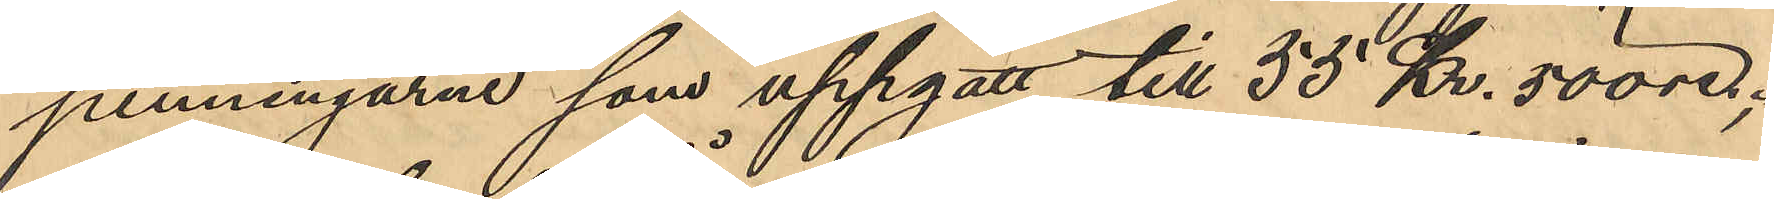penningarne som uppgått till 55 Kr. 50 öre;
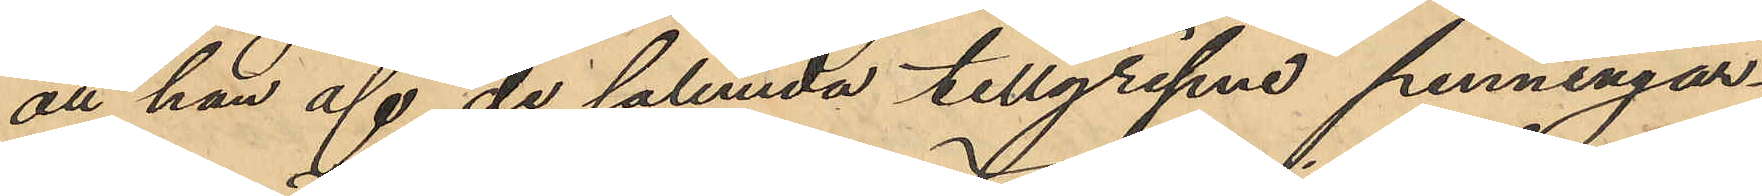att han af de sålunda tillgripne penningar¬
